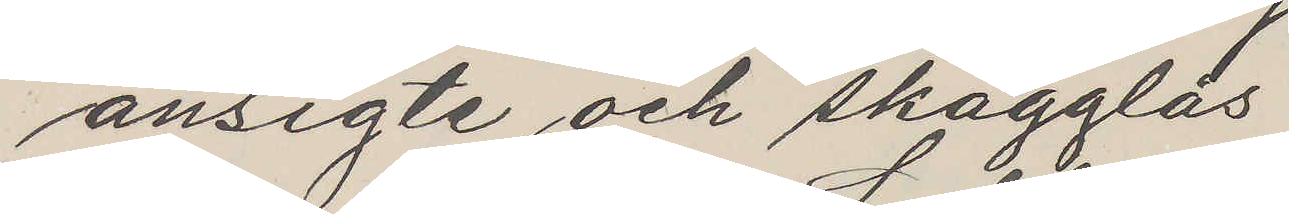ansigte och skägglös
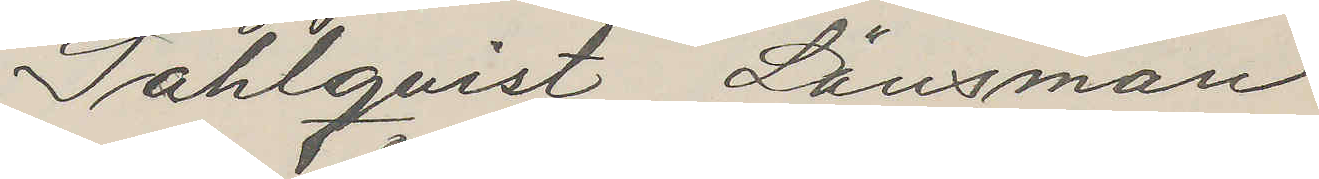Sahlqvist Länsman
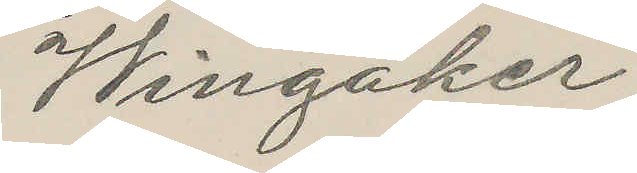Wingåker
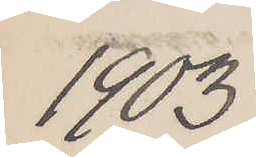1903
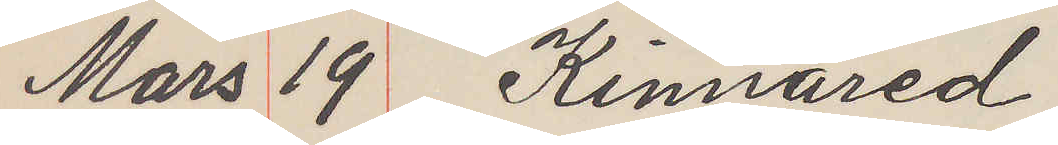Mars 19 Kinnared
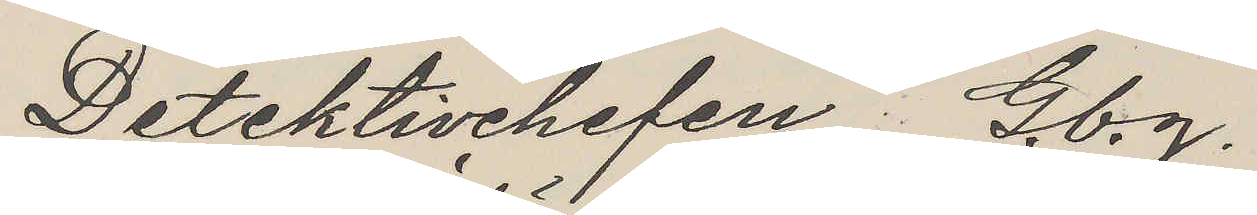Detektivchefen Gbg.
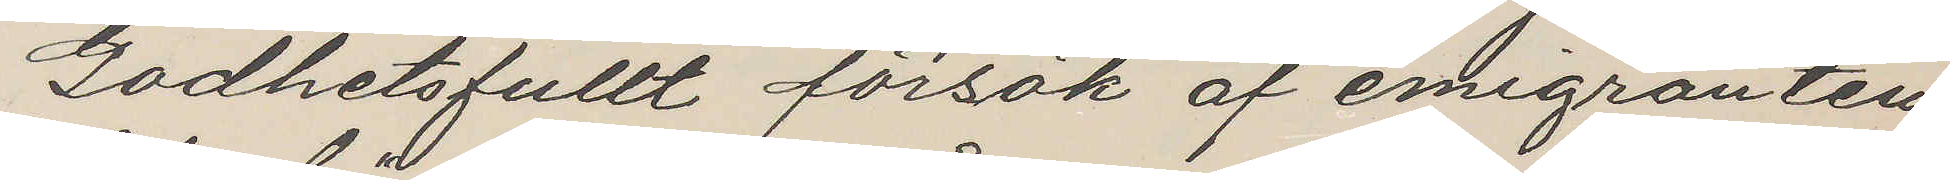Godhetsfullt försök af emigranten
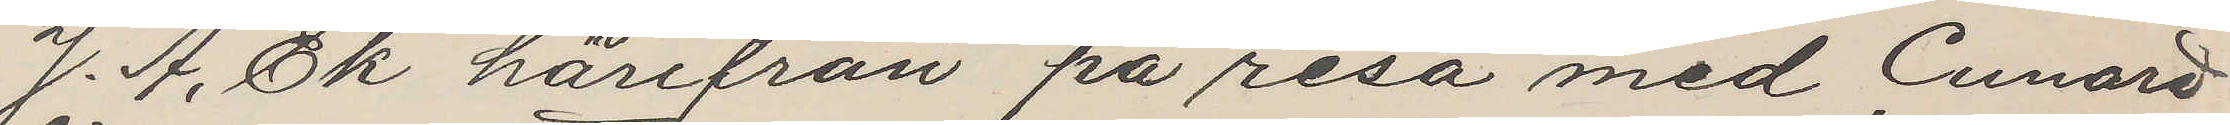J. A. Ek härifrån på resa med Cunard
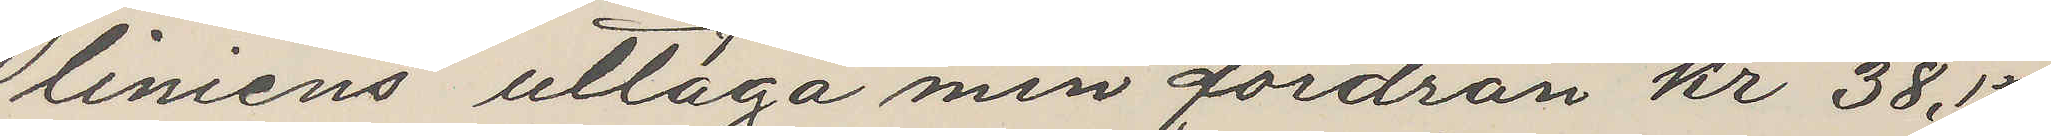liniens uttaga min fordran kr 38,15
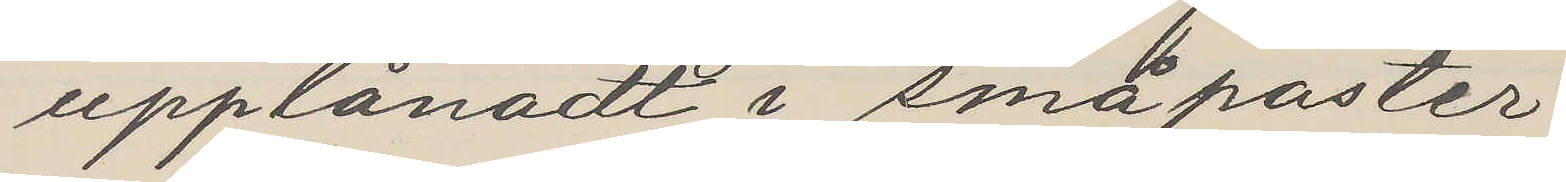upplånadt i småparter
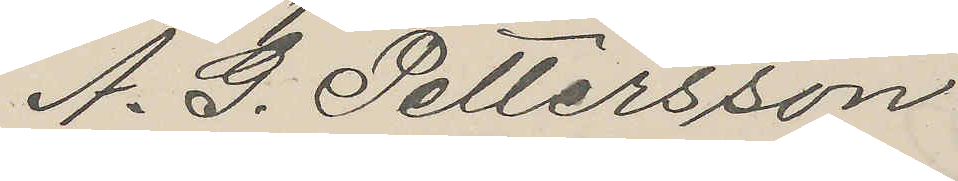A. G. Pettersson
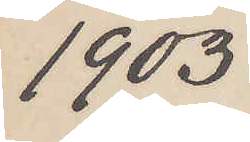1903
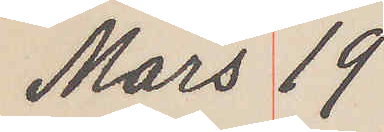Mars 19
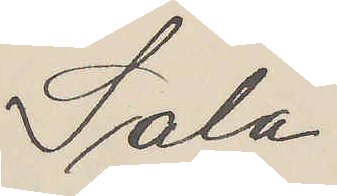Sala
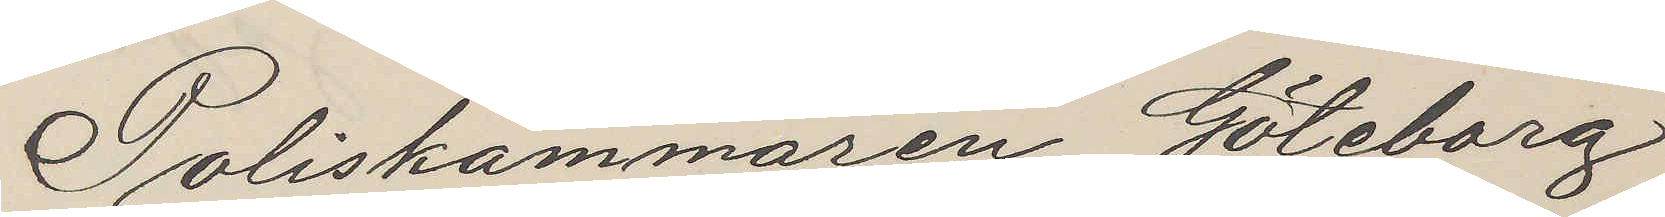Poliskammaren Göteborg
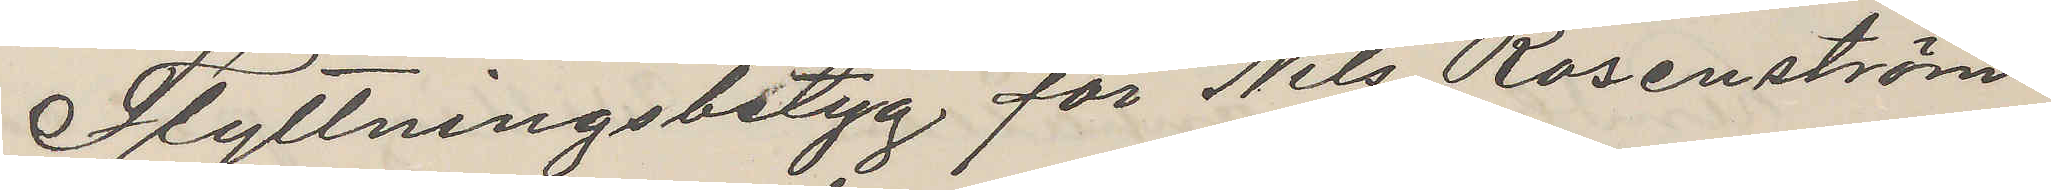Flyttningsbetyg för Nils Rosenström
